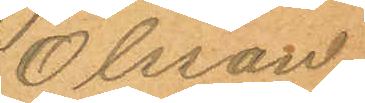Olsson.
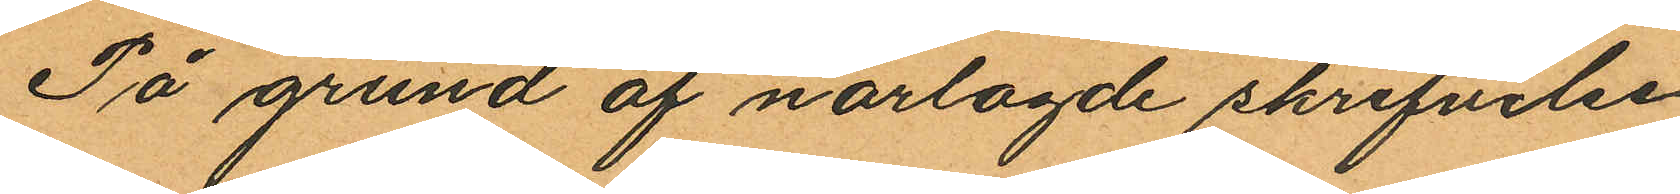På grund af närlagde skrifvelse
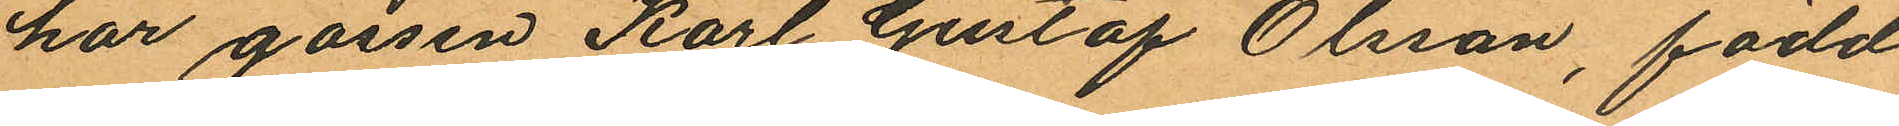har gossen Karl Gustaf Olsson, född
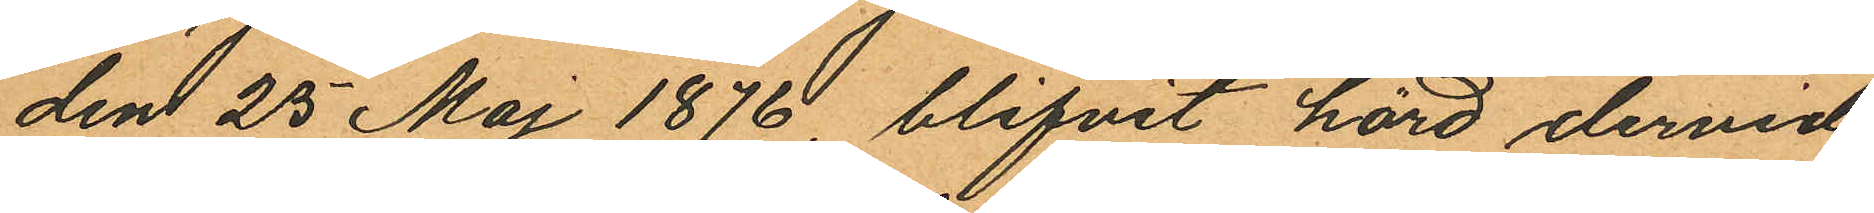den 25 Maj 1876, blifvit hörd dervid
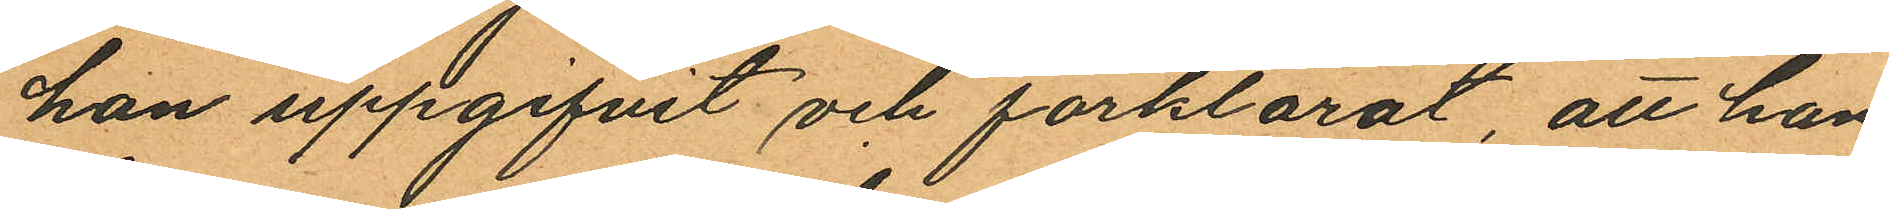han uppgifvit och förklarat, att han
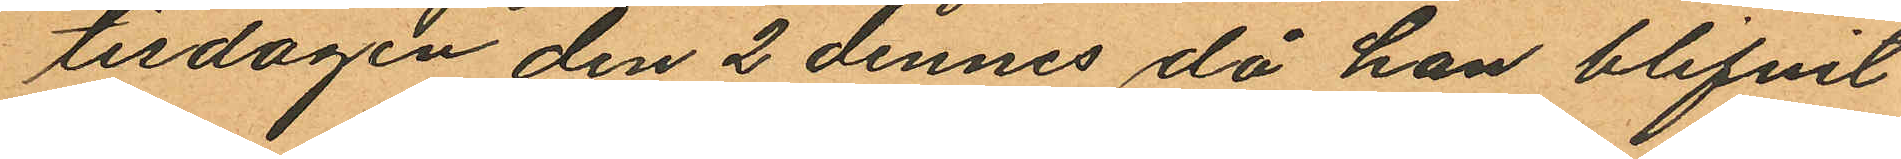tisdagen den 2 dennes då han blifvit
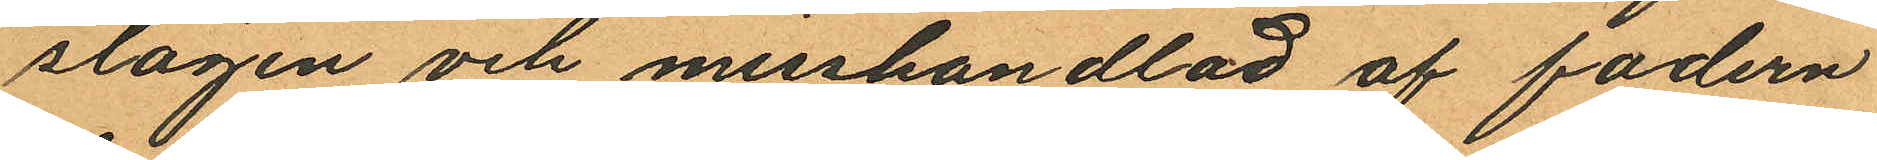slagen och misshandlad af fadern
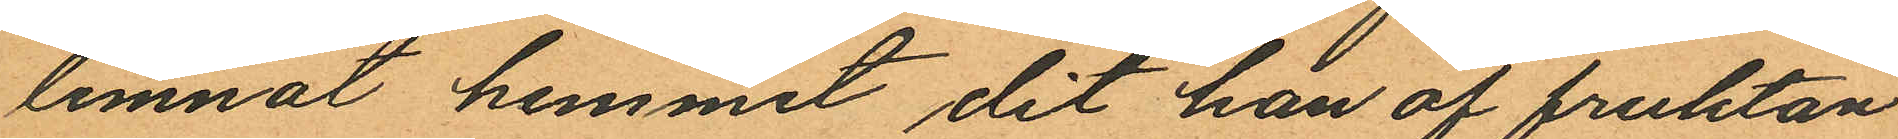lemnat hemmet dit han af fruktan
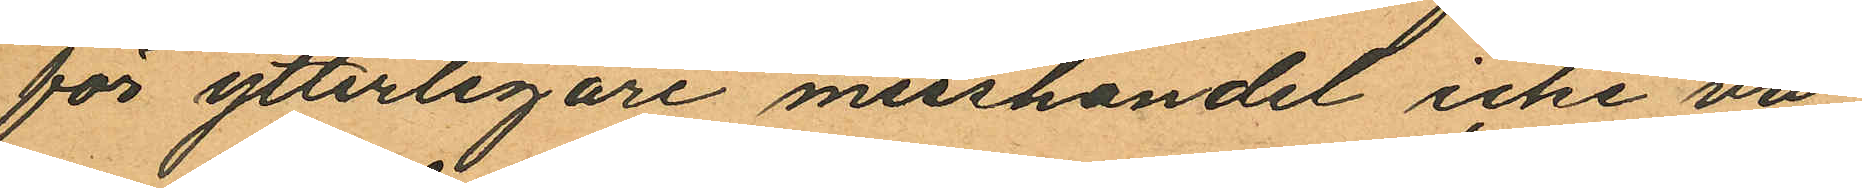för ytterligare misshandel icke vå¬
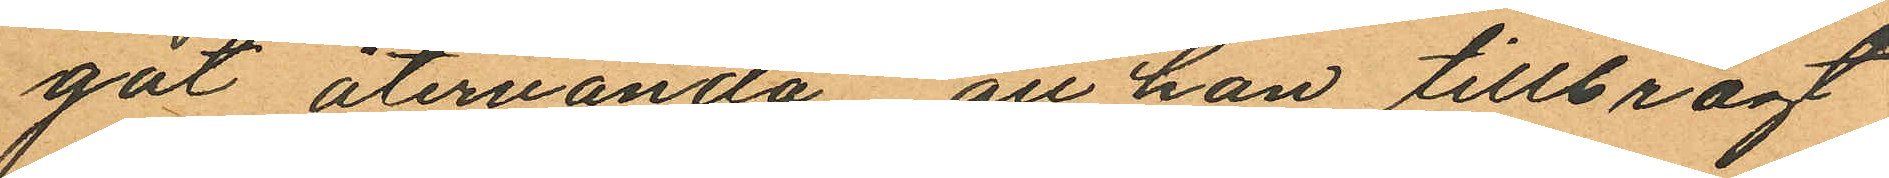gat återvända att han tillbragt
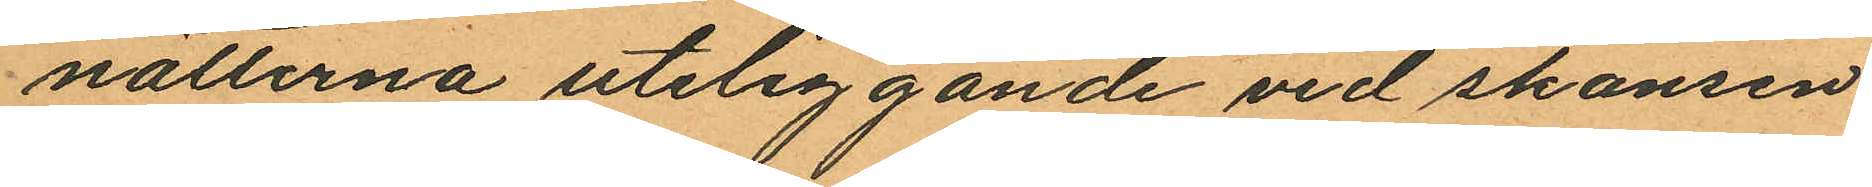nätterna uteliggande vid skansen
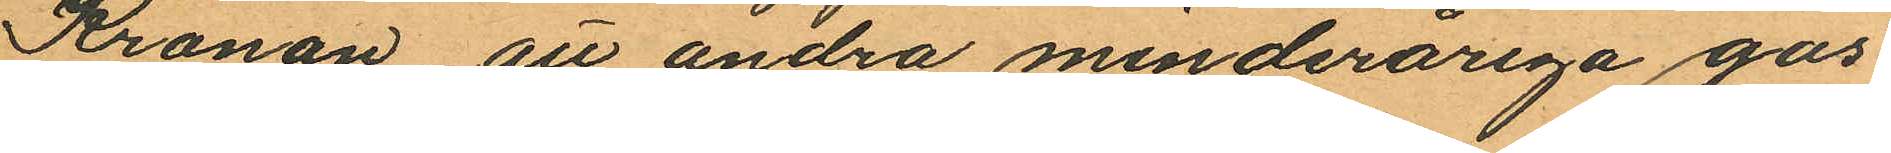Kronan, att andra minderåriga gos¬
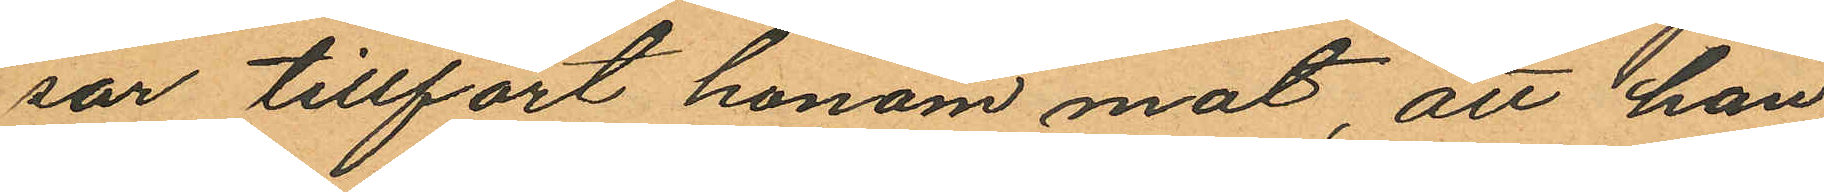sar tillfört honom mat, att han
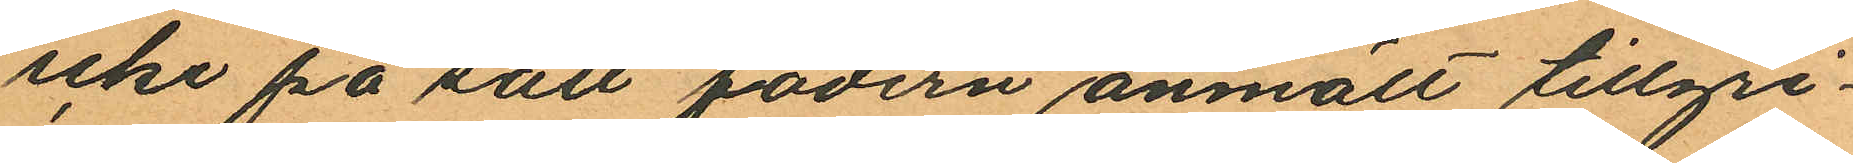icke på sätt fadern anmält tillgri¬
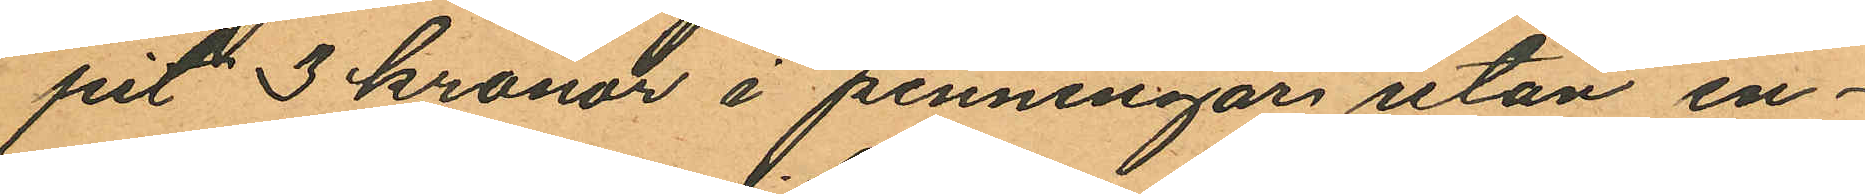pit 3 kronor i penningar utan en¬
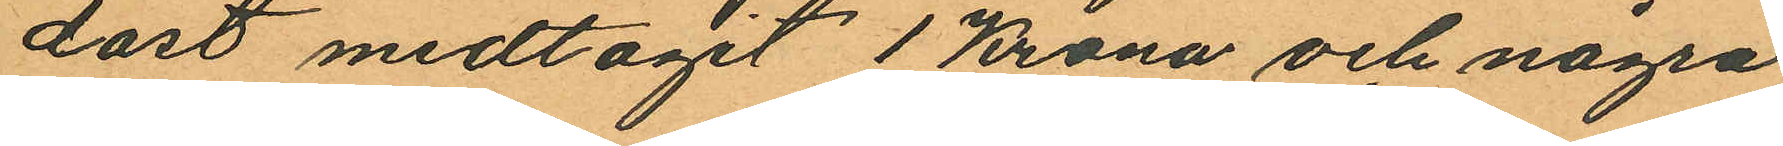dast medtagit 1 Krona och några
